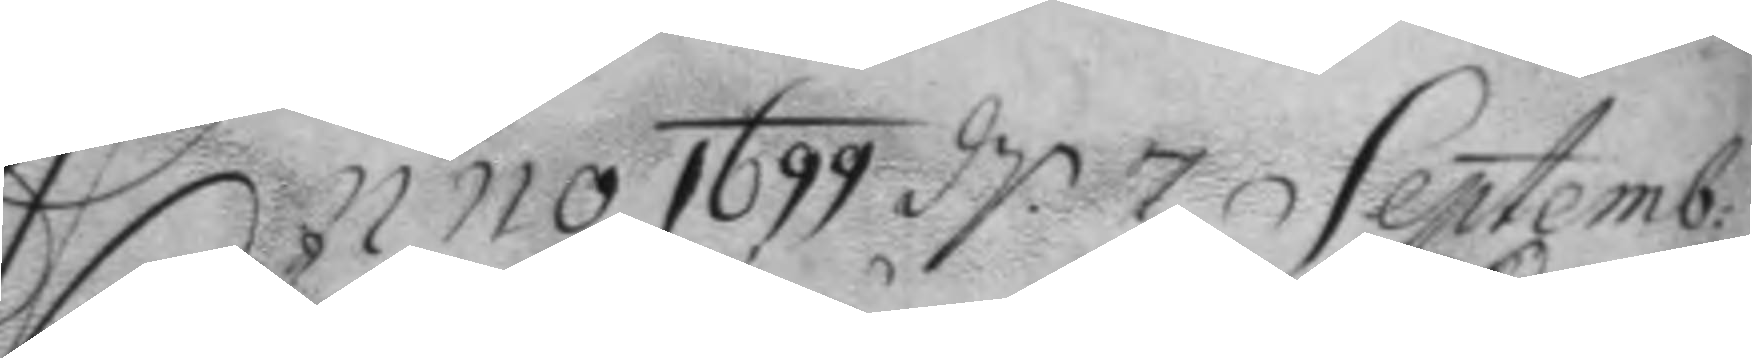Anno 1699 d 7 Septemb: 
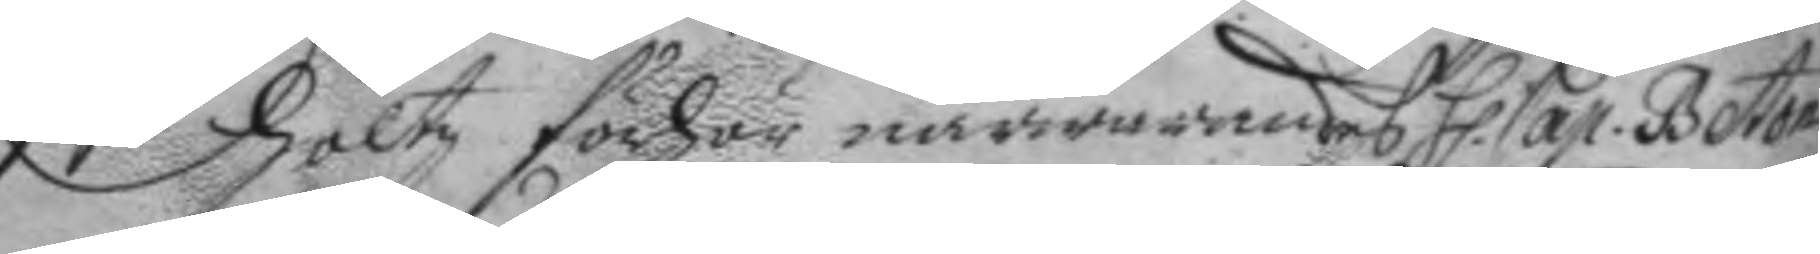höltz förhör närwarandes h Cap. Beton 
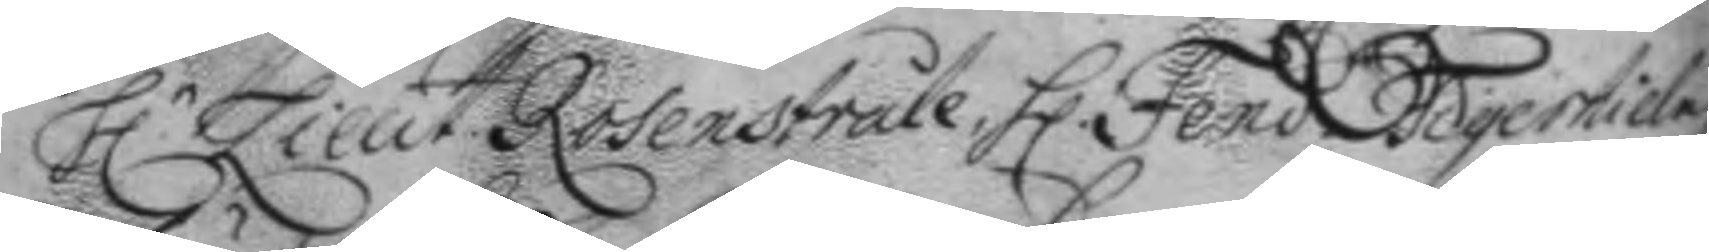H.r Lieut Rosenstråle h. Fend. Tigerhielm 
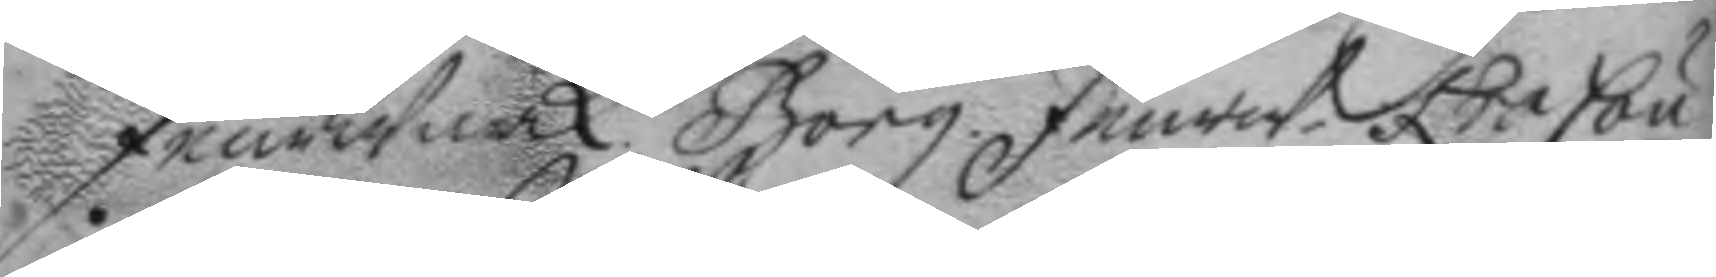feurwärk. Borg. feurw. Kracou 
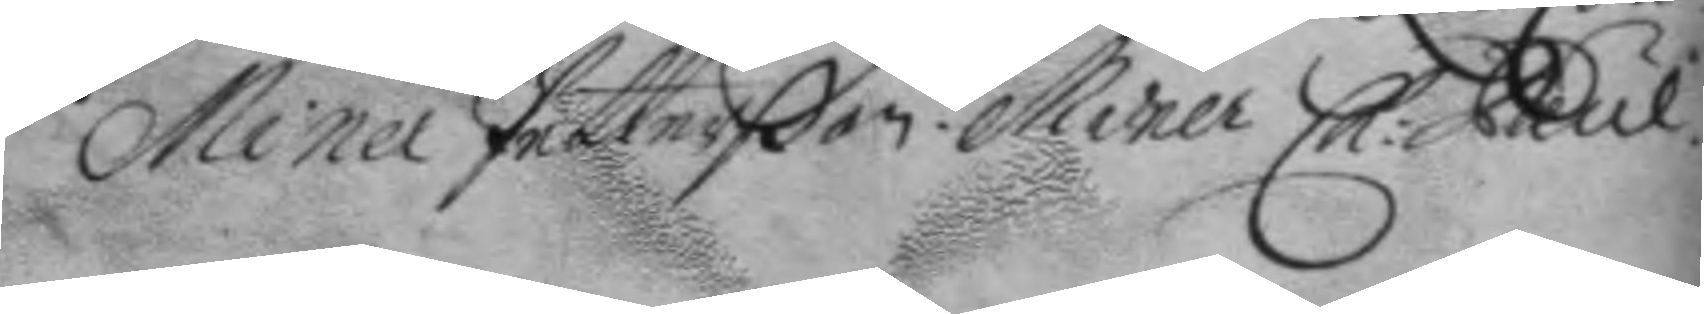Miner Petterßon Miner Ch: Paul. 
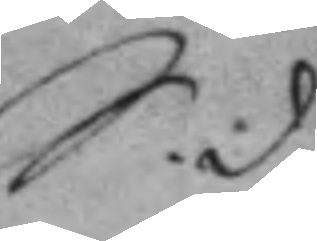S.d.
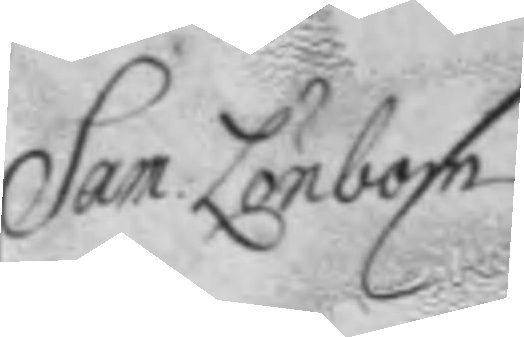Sam Lönbon
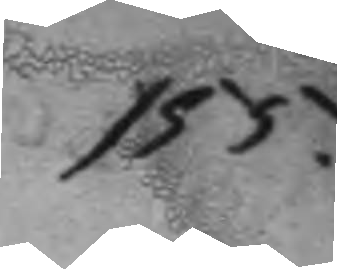155.
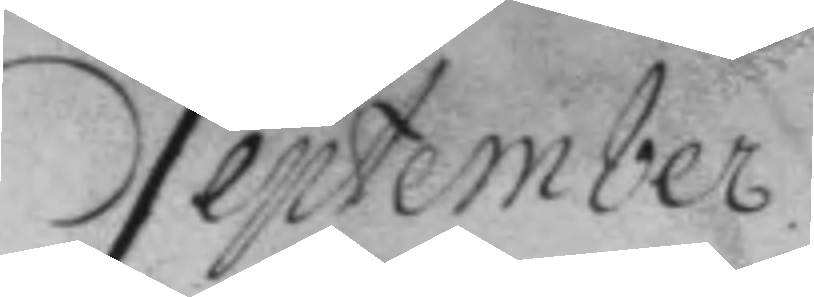September.
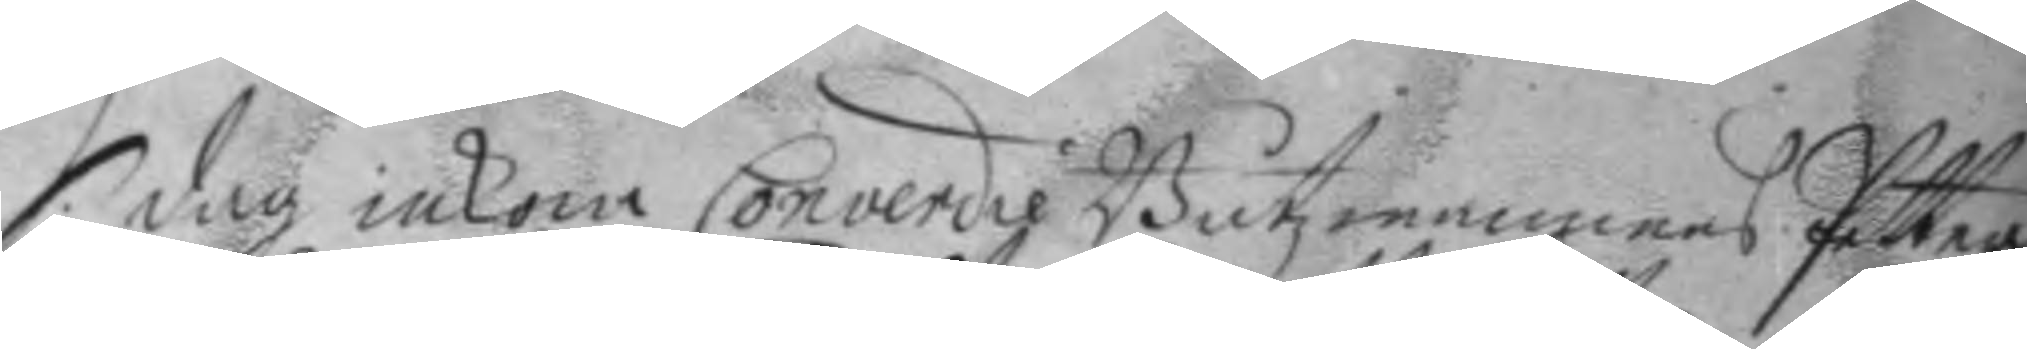S. dag inkom Converdie Båtzmannens Petter 
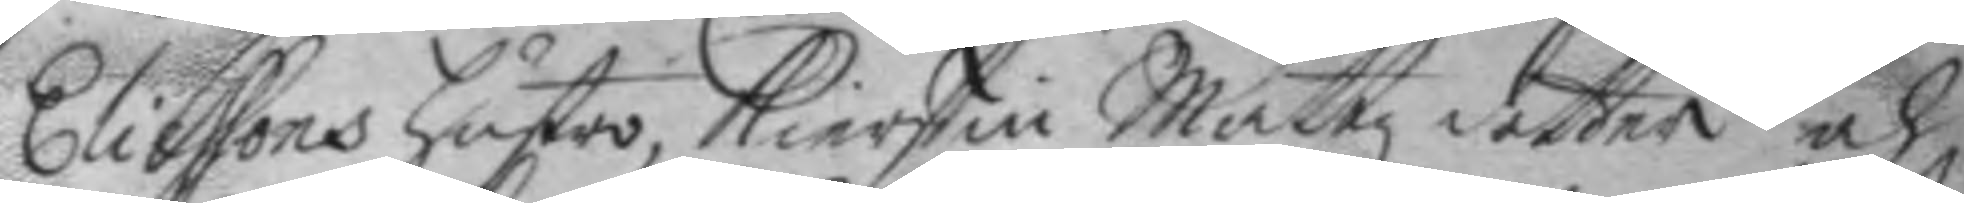Eliassons hustro, Kierstin Mattzdotter och
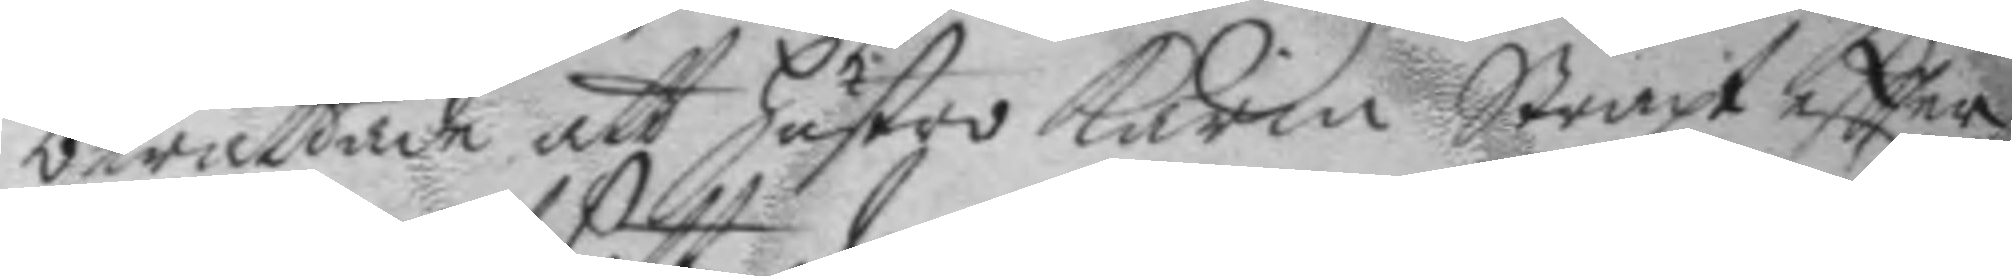berättade att hustro Karin Straxt eftter
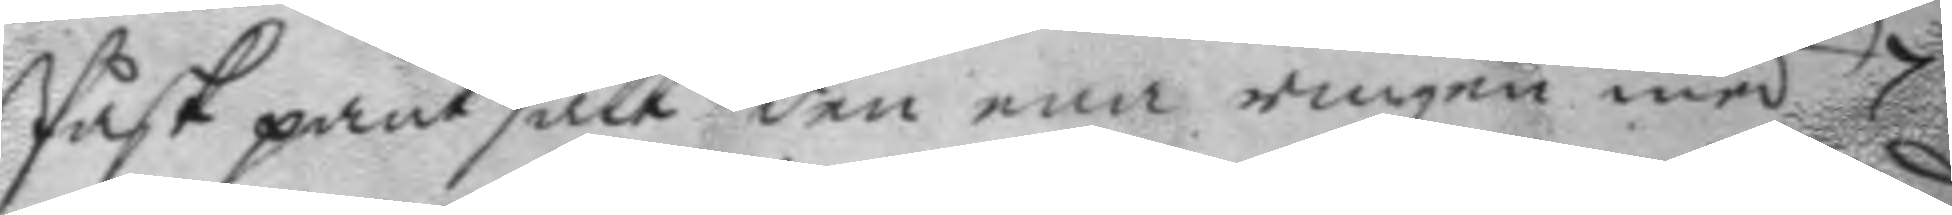Påsk pantsatt den ena ringen med 7
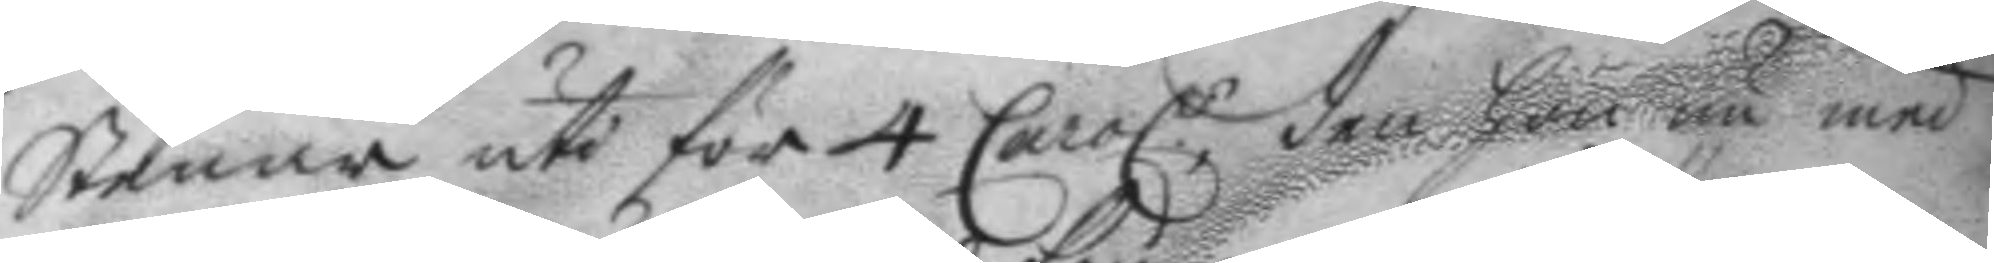Stenar uti för 4 Carol.r dem hon nu med 
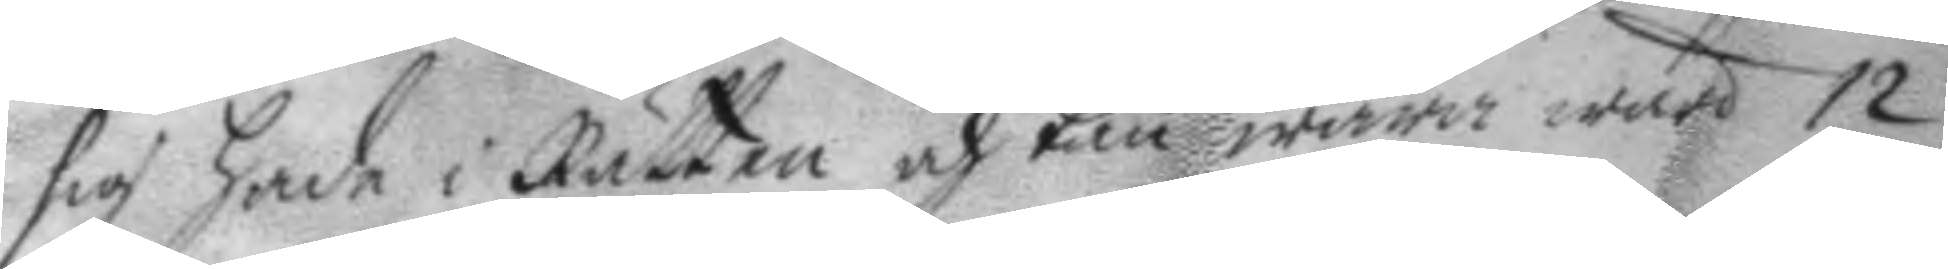sig hade i Rätten och kan wara wärd 12
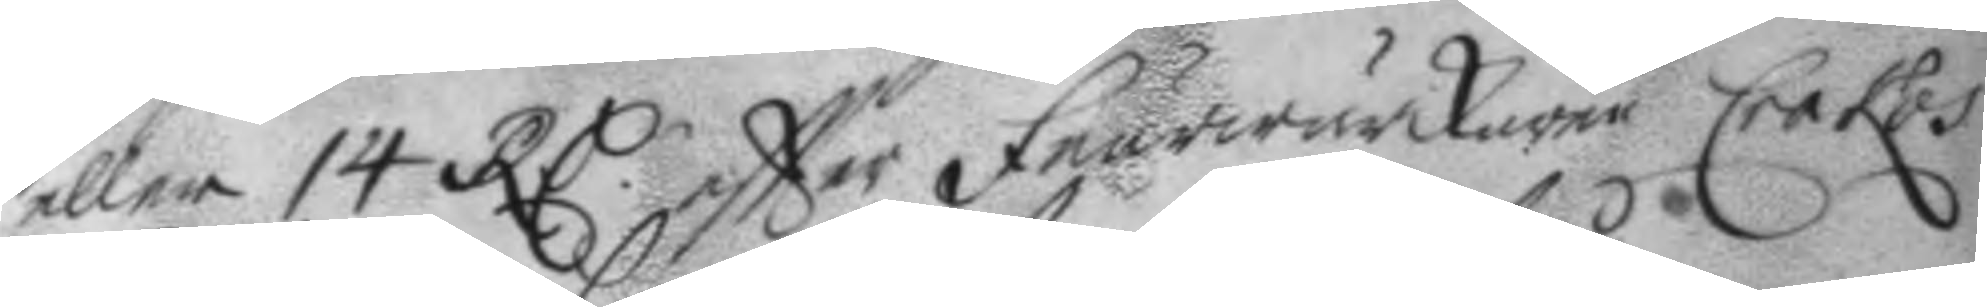eller 14 RC.r eftter Feurwärkaren Crakos 
